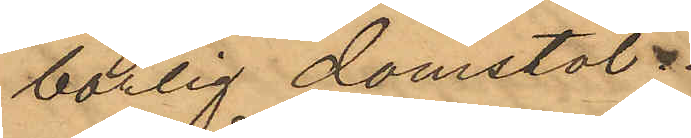börlig domstol.
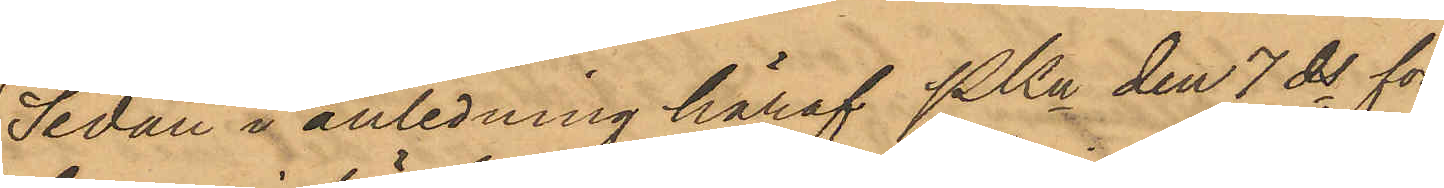Sedan i anledning häraf PKn den 7 ds för¬
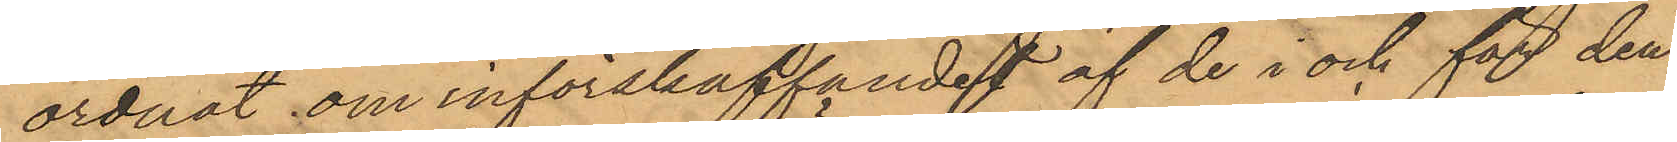ordnat om införskaffandet af de i och för den¬
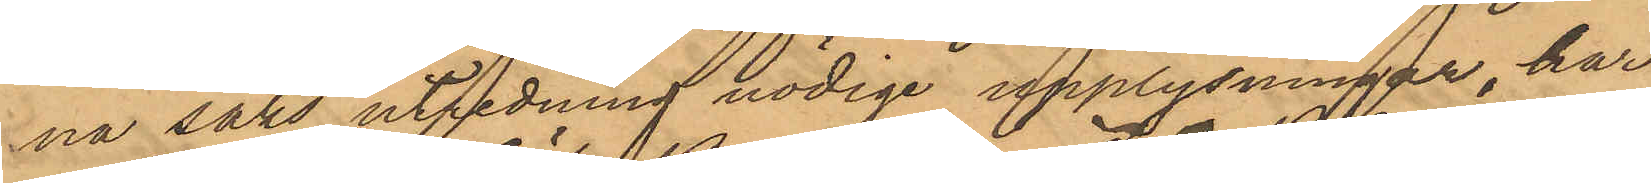na saks utredning nödige upplysningar, har
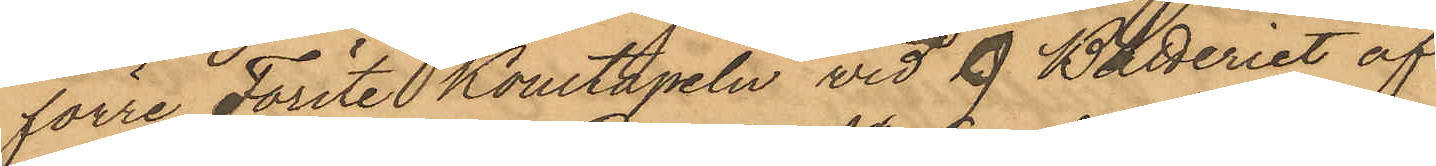förre Förste Konstapeln vid 9. Batteriet af
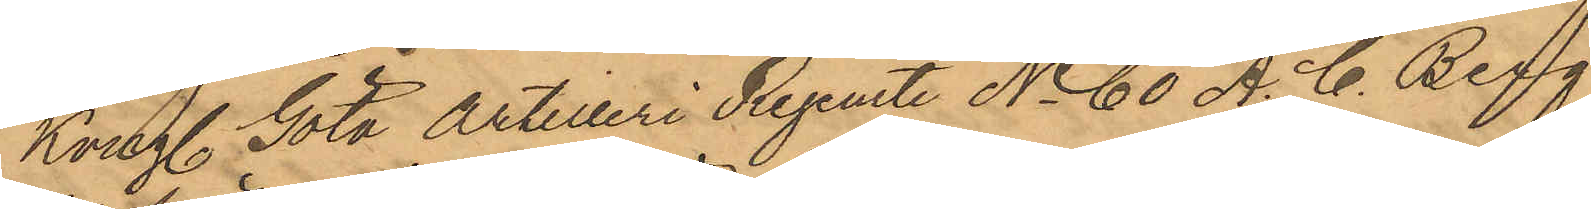Kongl. Göta Artilleri Regemente No 60 A. C. Berg
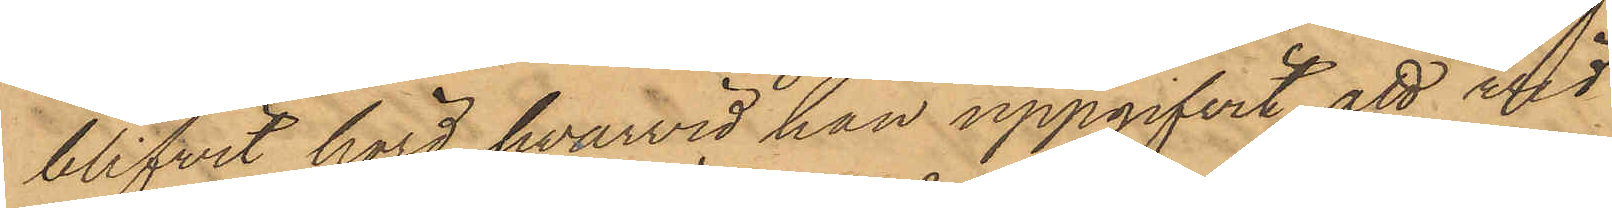blifvit hörd, hvarvid han uppgifvit att vid
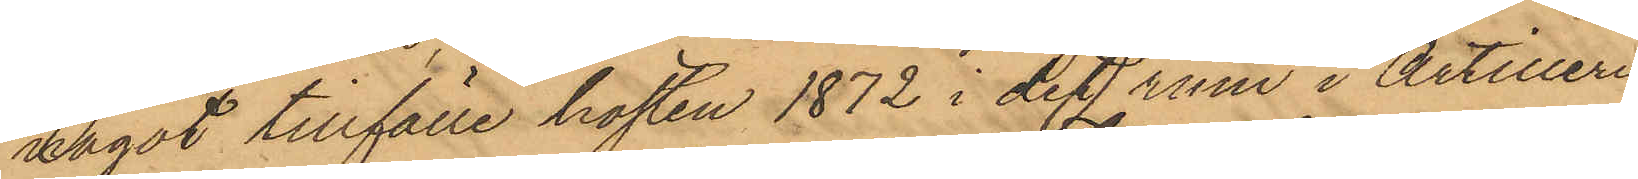något tillfälle hösten 1872 i det rum i Artilleri¬
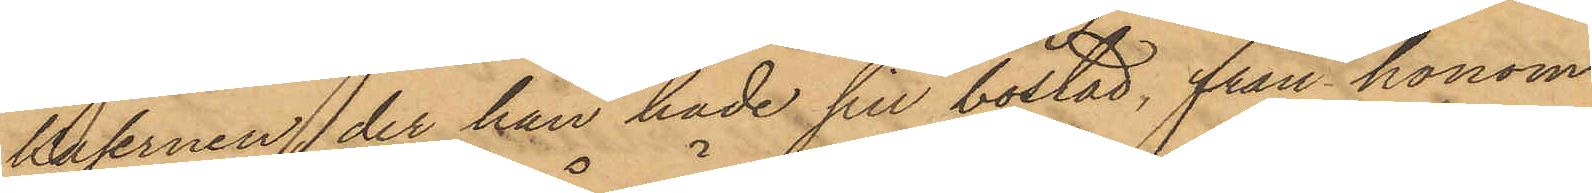kasernen, der han hade sin bostad, från honom
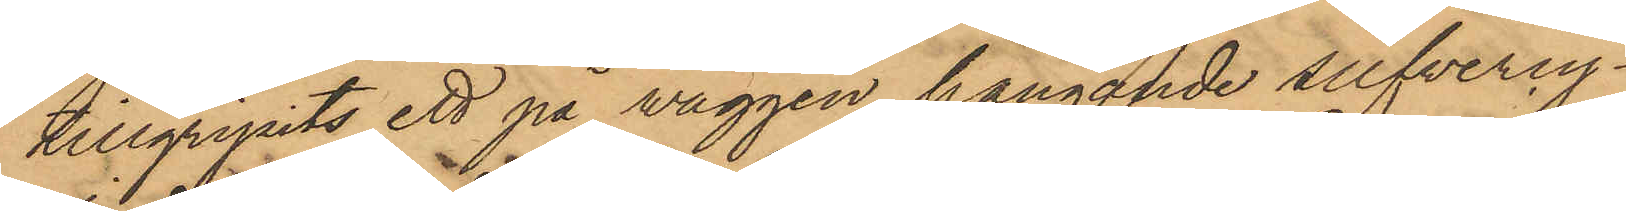tillgripits ett på väggen hängande silfvercy¬
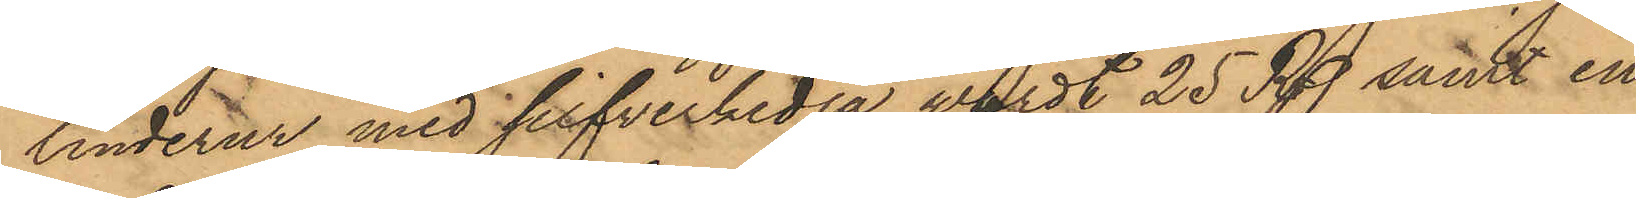linderur med silfverkedja värdt 25 Rdr samt en
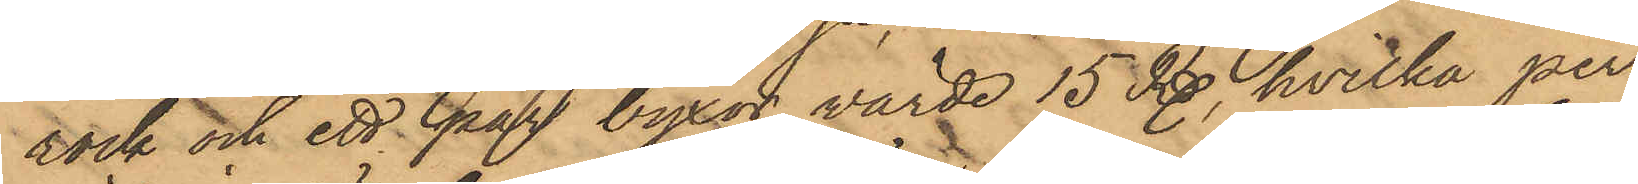rock och ett par byxor värde 15 Rdr, hvilka per¬
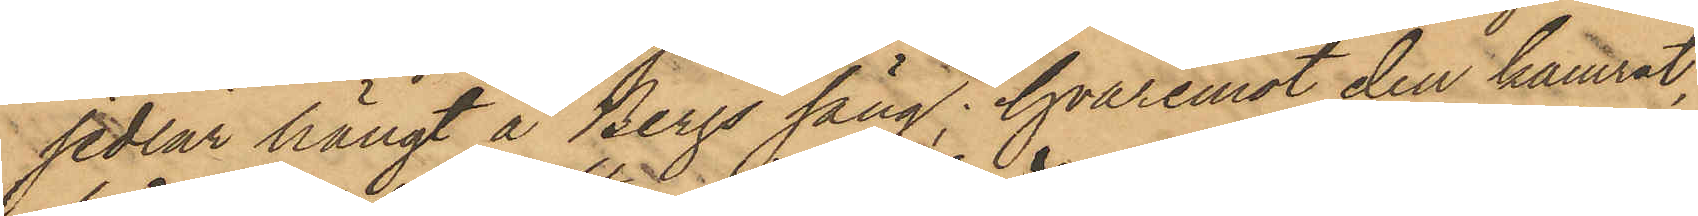sedlar hängt å Bergs säng; hvaremot den kamrat,
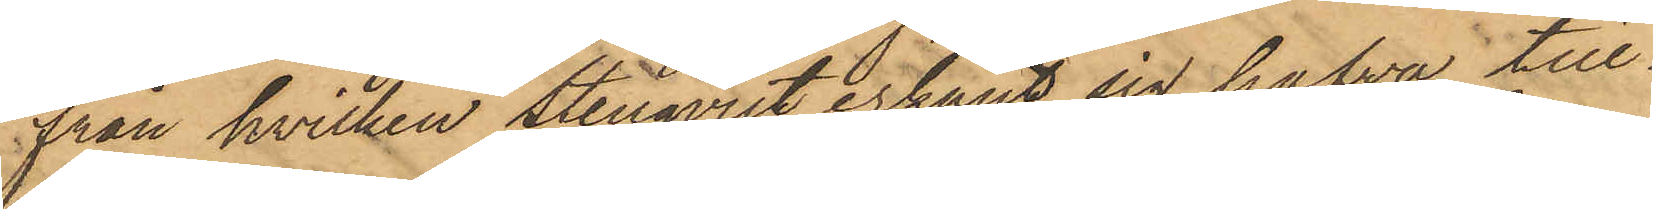från hvilken Stenqvist erkänt sig hafva till¬
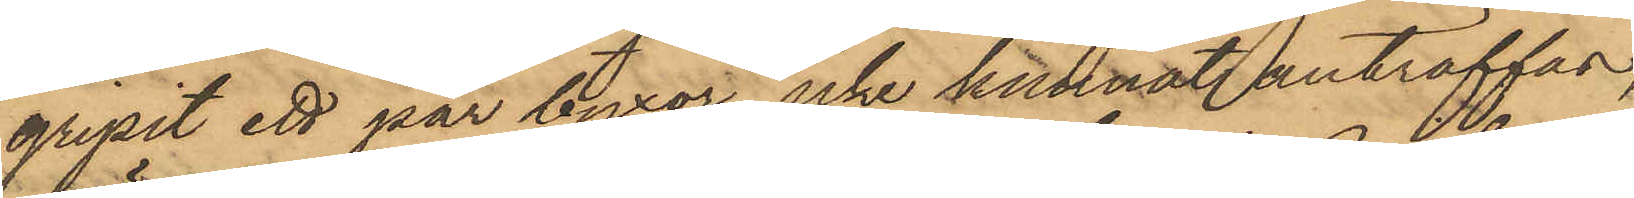gripit ett par byxor, icke kunnat anträffas,
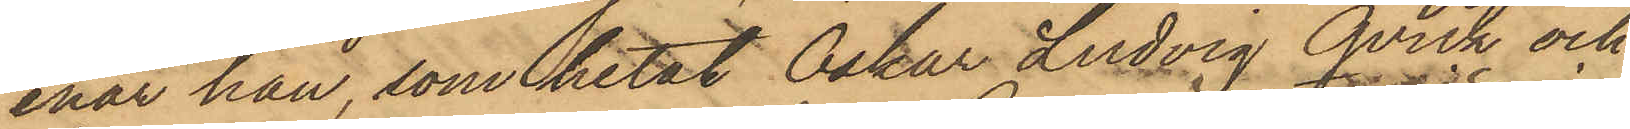enär han, som hetat Oskar Ludvig Qvick och
